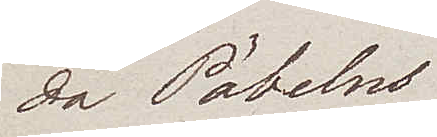da Pöbelns
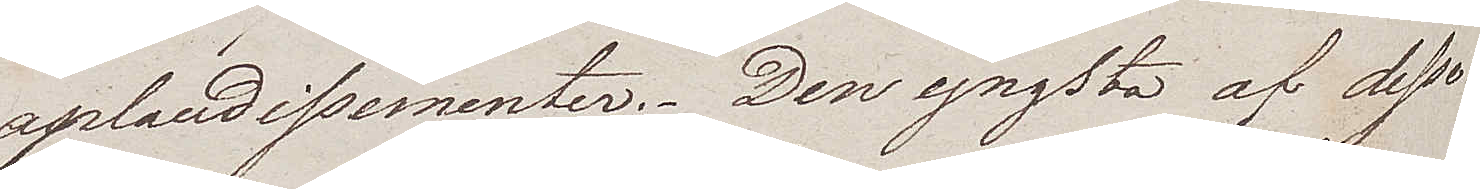aplaudissementer. Den yngsta af dessa
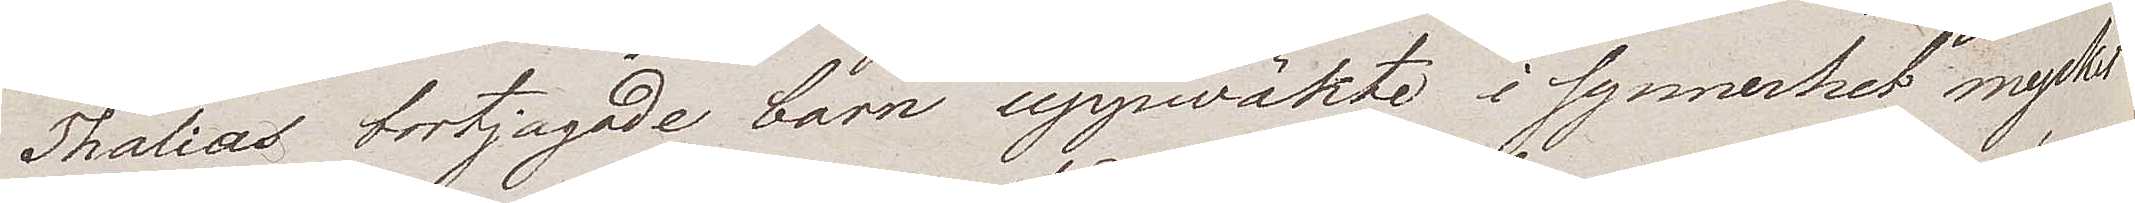Thalias bortjagade barn uppwäkte i synnerhet mycket
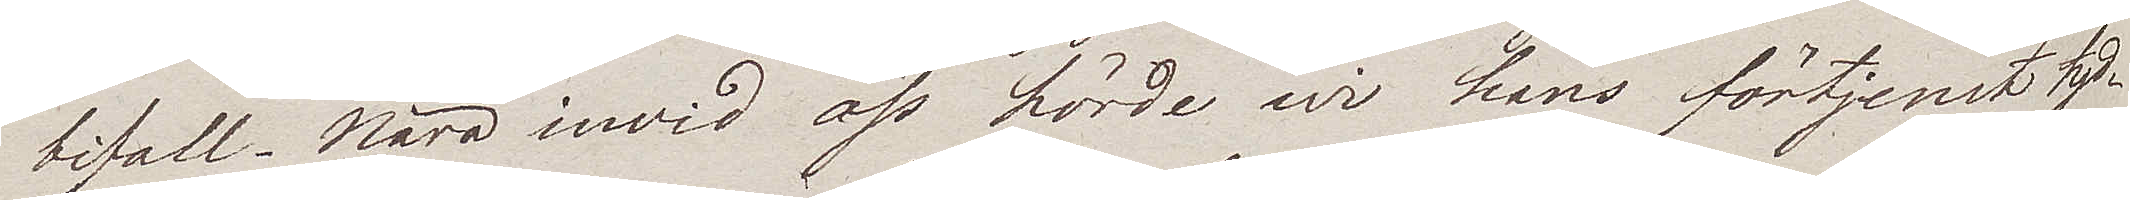bifall. Nära invid oss hörde wi hans förtjenst tyd¬
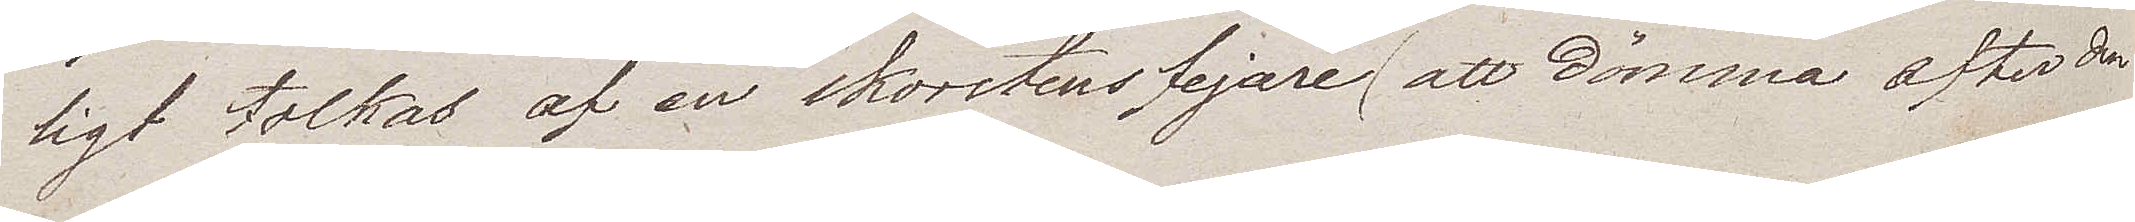ligt tolkas af en skorstensfejare (att dömma efter den
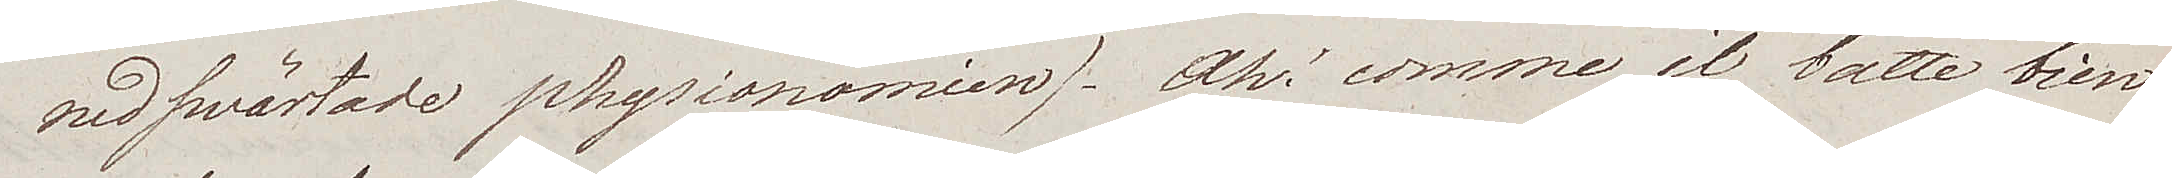nedswärtade physionomien). Ah' comme il batte bien
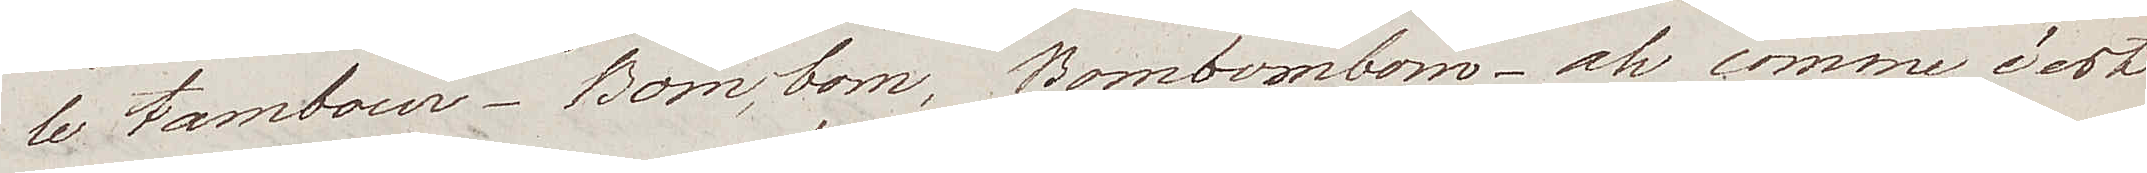le tambour. Bom, bom, Bombombom – ah comme c'est
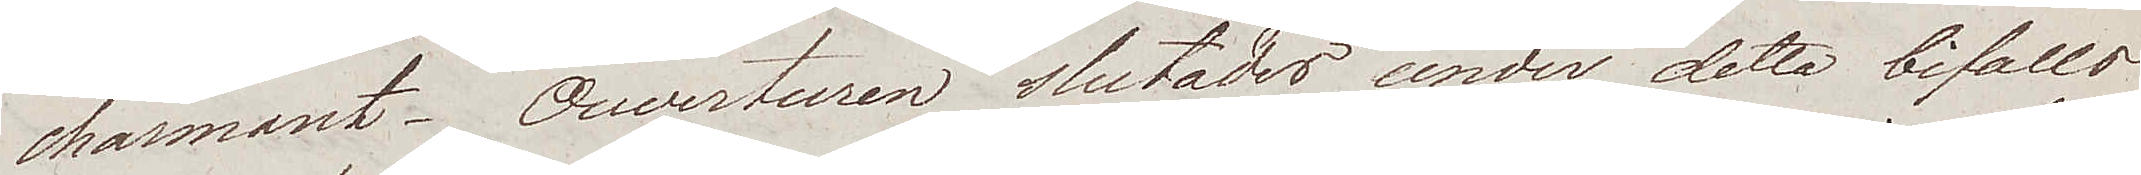charmant. Ouverturen slutades under detta bifalls
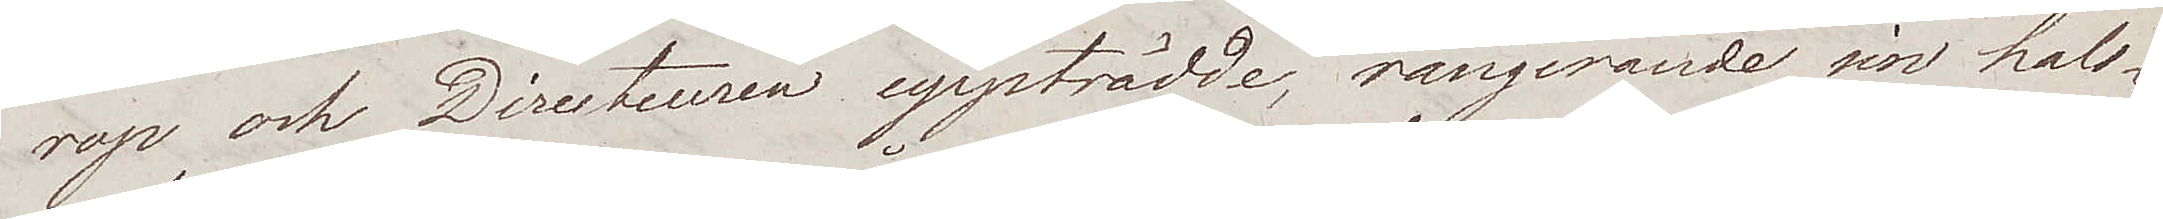rop och Directeuren uppträdde, rangerande sin hals¬
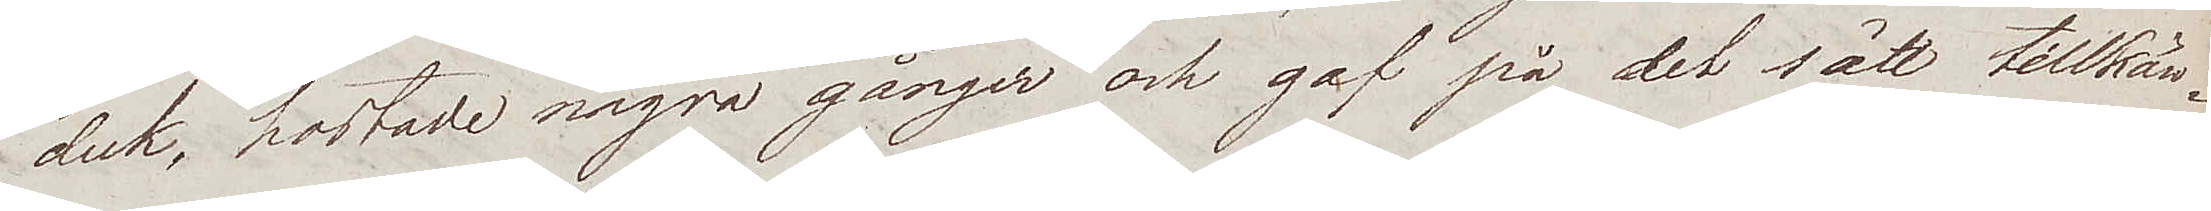duk, hostade några gånger och gaf på det sätt tillkän¬
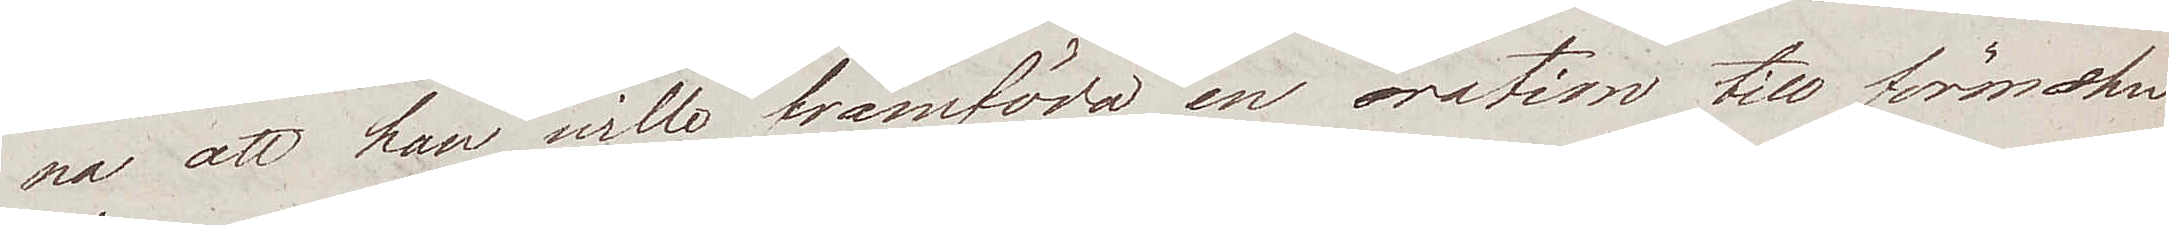na, att han wille framföra en oration till förmohn
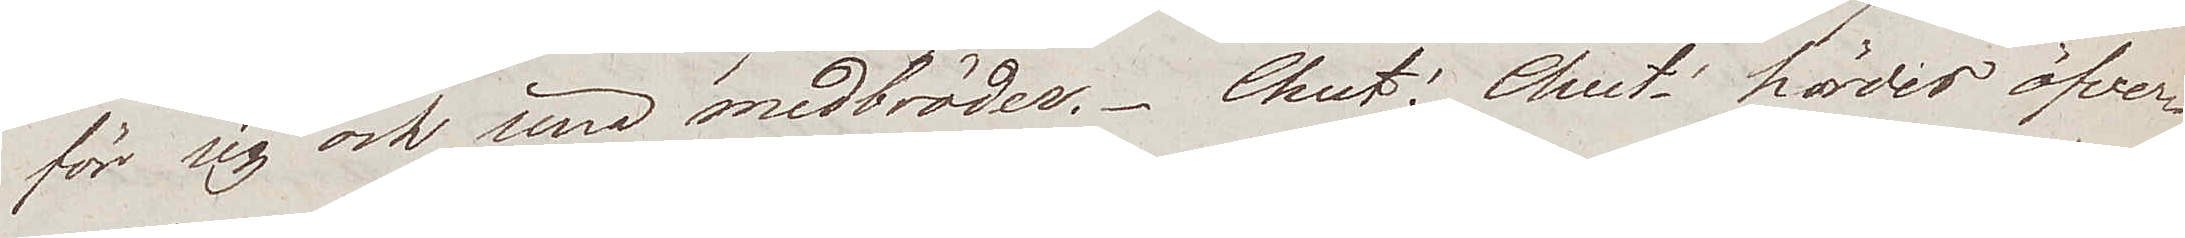för sig och sina medbröder. Chut! Chut! hördes öfver¬
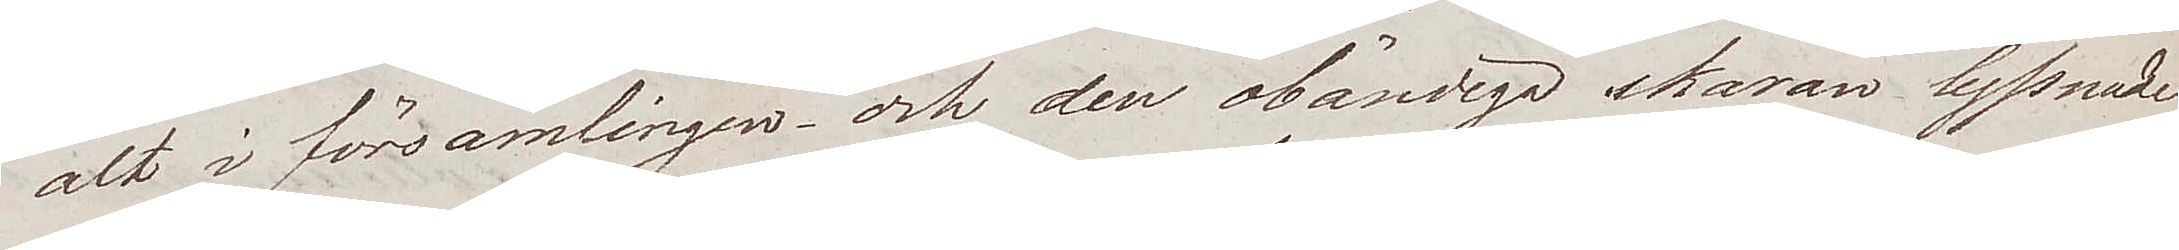alt i församlingen – och den obändiga skaran lyssnade
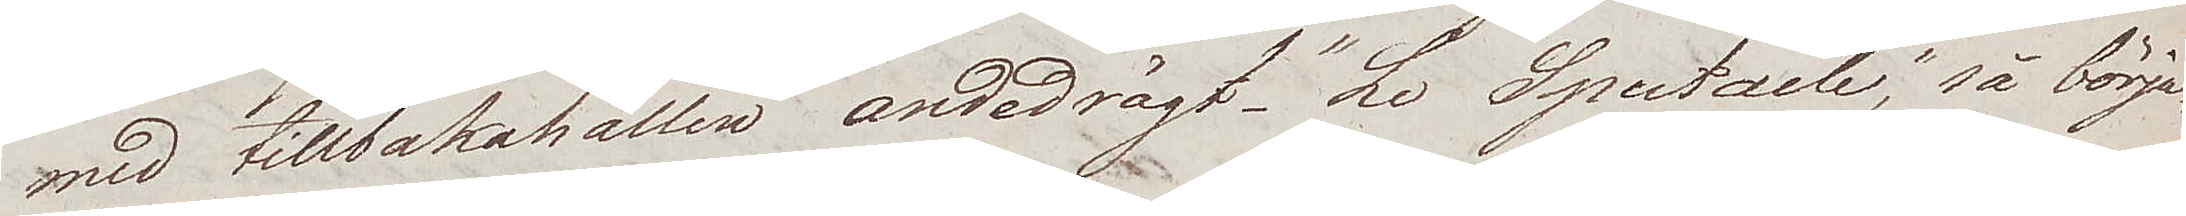med tillbakahallen andedrägt. "Le Spectacle", så börja¬
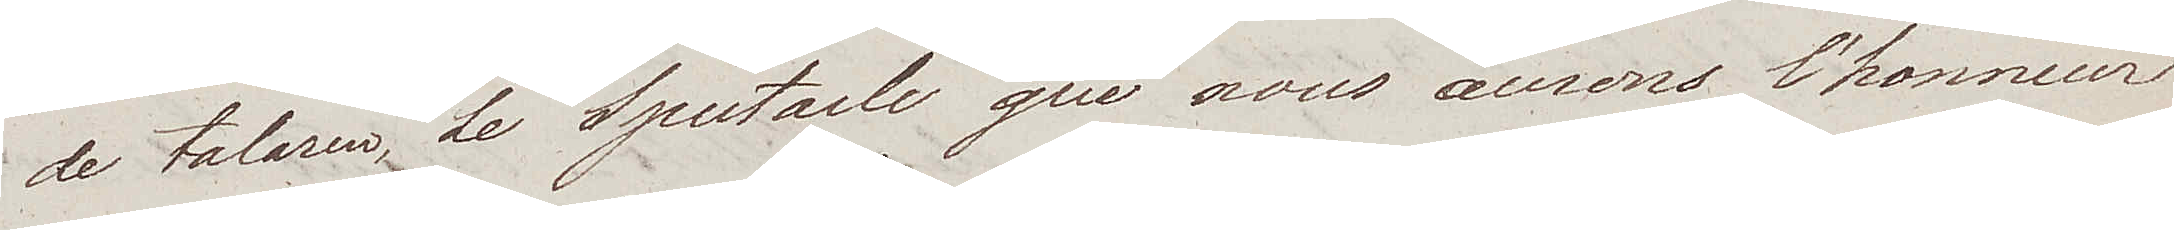de talaren, Le Spectacle que nous avrons l'honneur
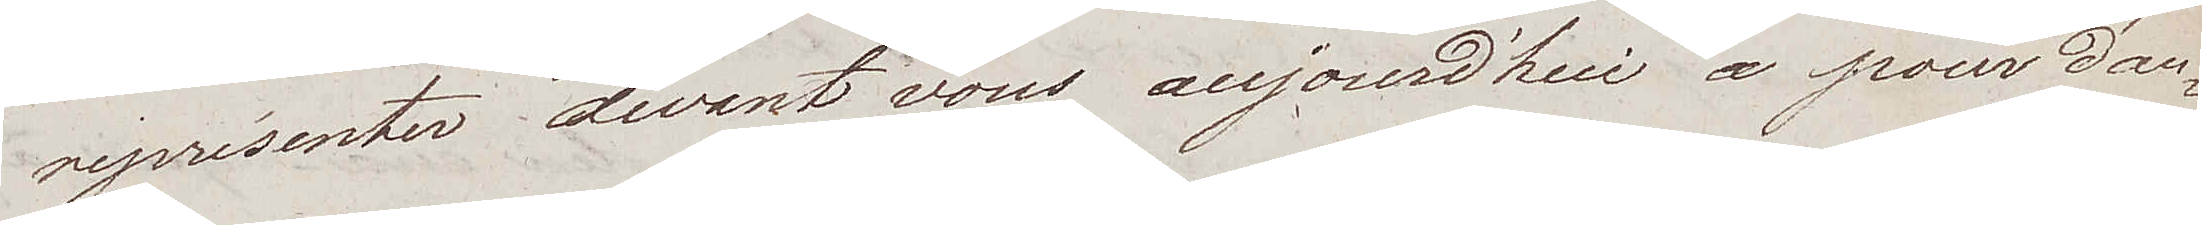représenter devant vous aujourd'hui a pour d'au¬
